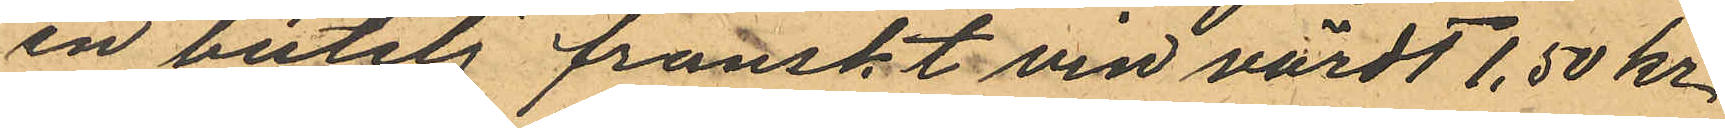en butelj franskt vin värdt 1,50 kr
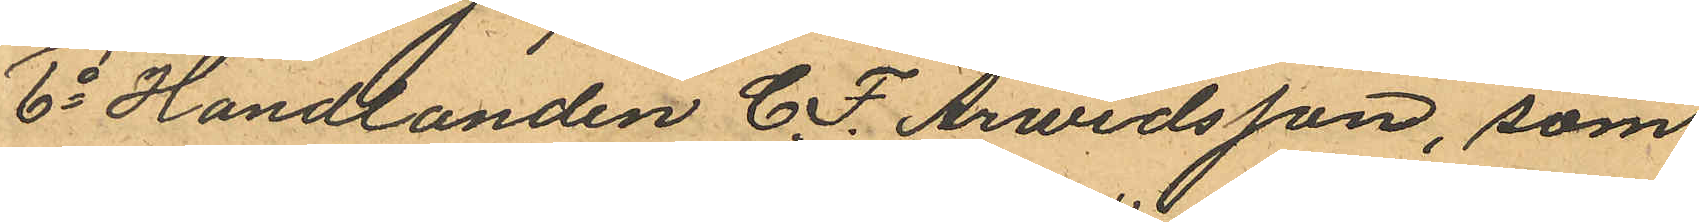6o Handlanden C. F. Arwidsson, som
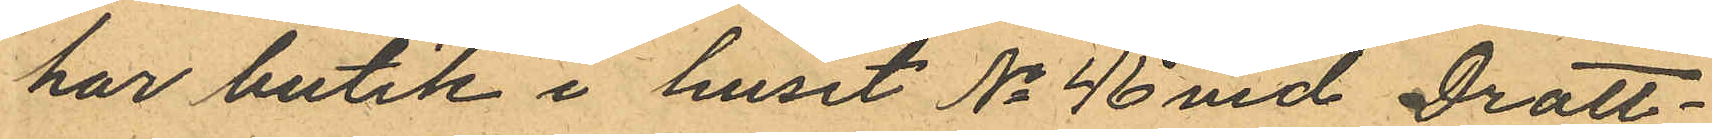har butik i huset No 46 vid Drott¬
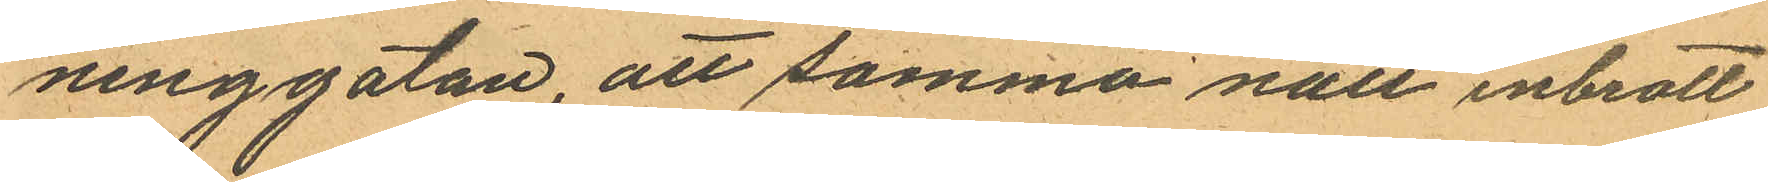ninggatan, att samma natt inbrott
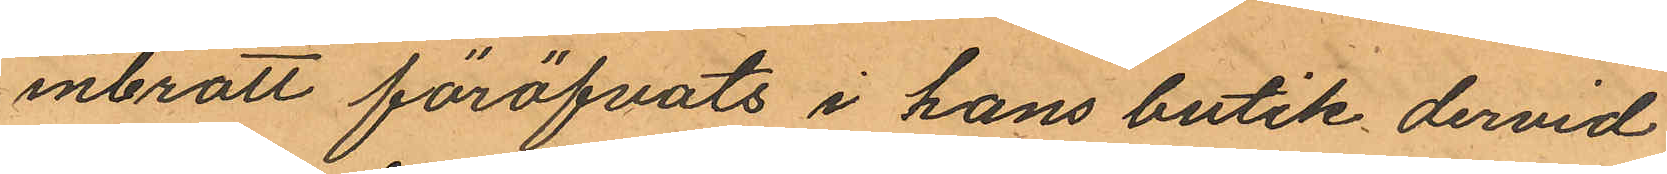inbrott föröfvats i hans butik dervid
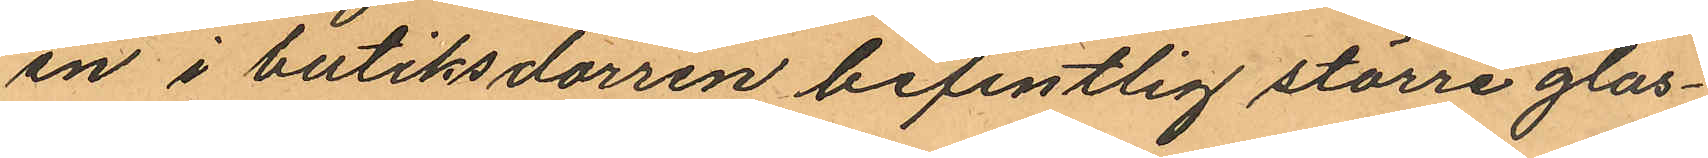en i butiksdörren befintlig större glas¬
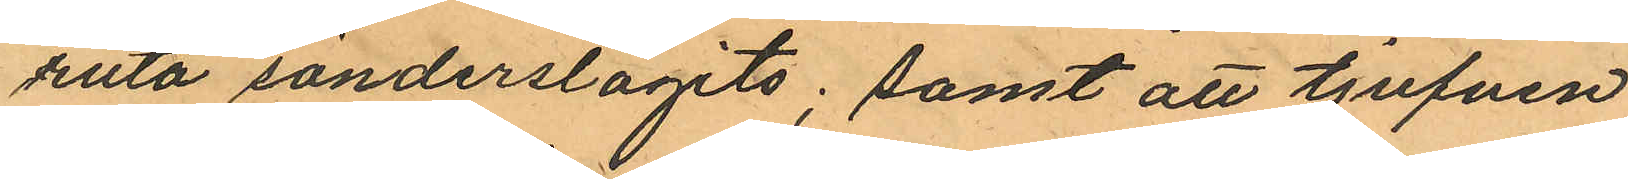ruta sönderslagits; samt att tjufven
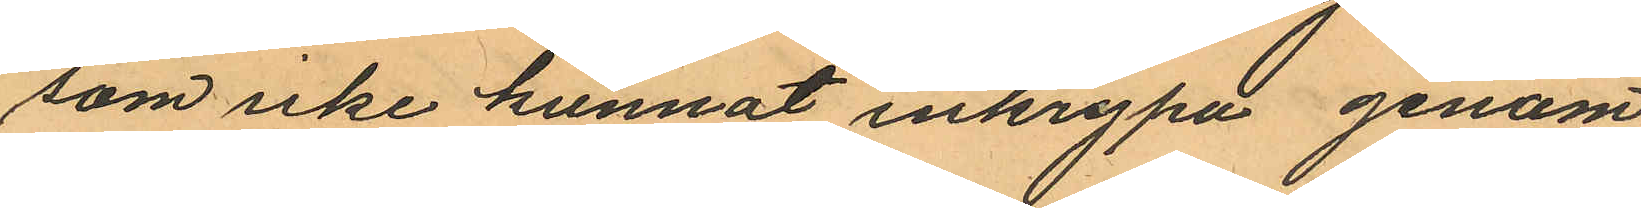som icke kunnat inkrypa genom
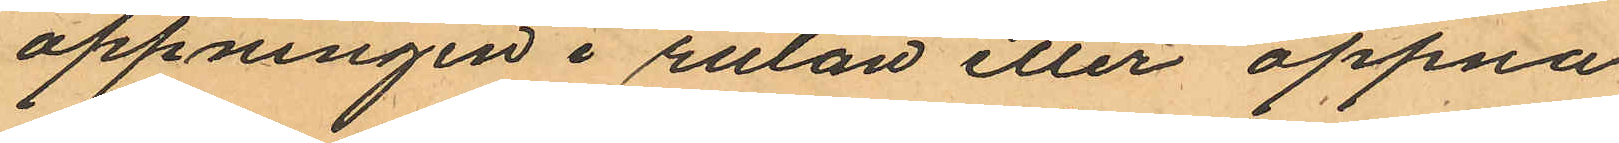öppningen i rutan eller öppna
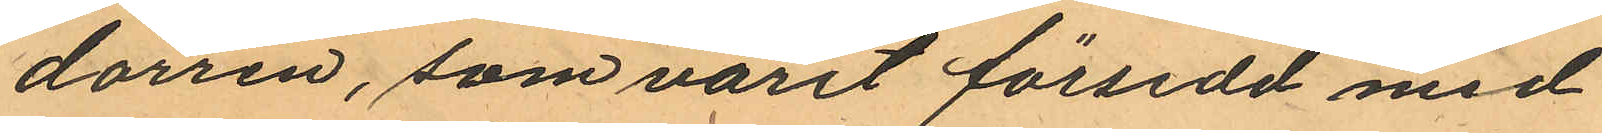dörren, som varit försedd med
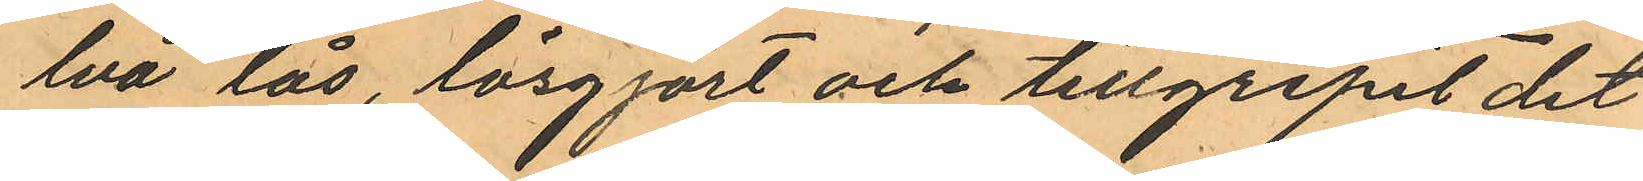två lås, lösgjort och tillgripit det
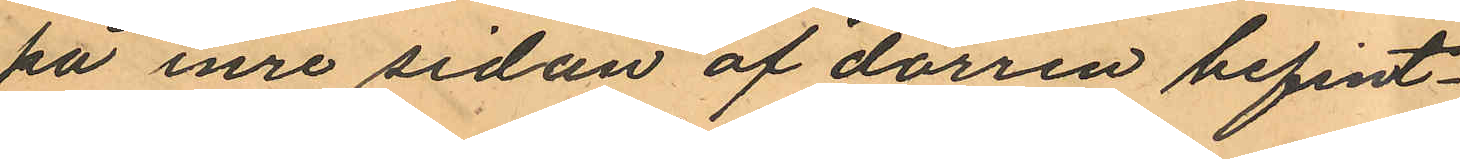på inre sidan af dörren befint¬
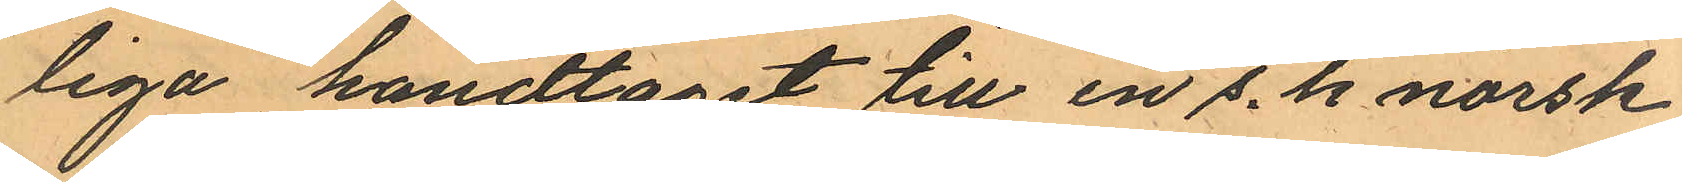liga handtaget till en s. k norsk
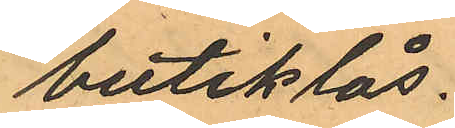butiklås.
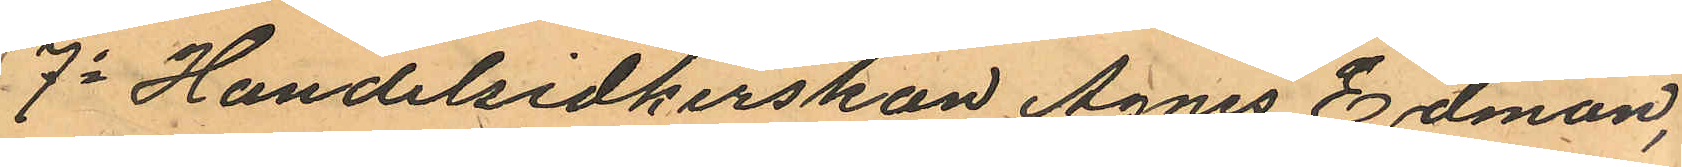7o Handelsidkerskan Agnes Edman,
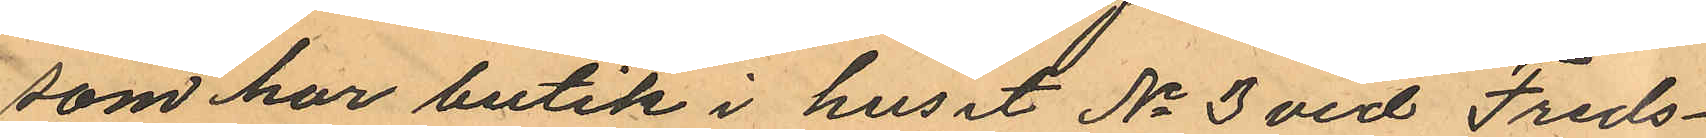som har butik i huset No 3 vid Freds¬
